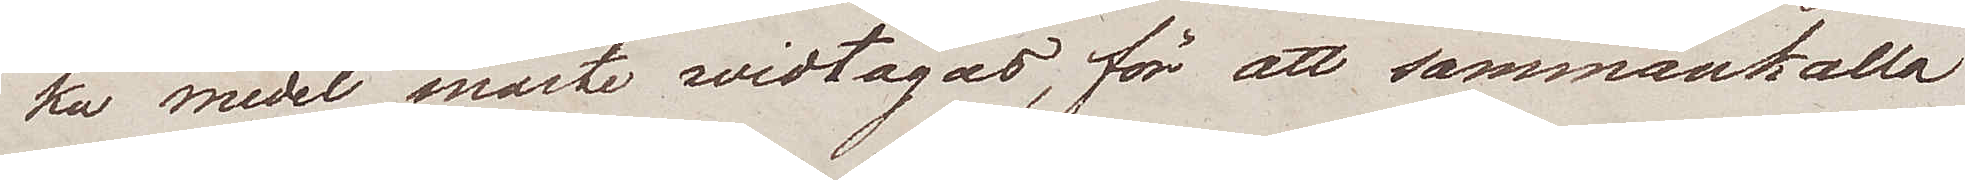ka medel måste widtagas, för att sammankalla
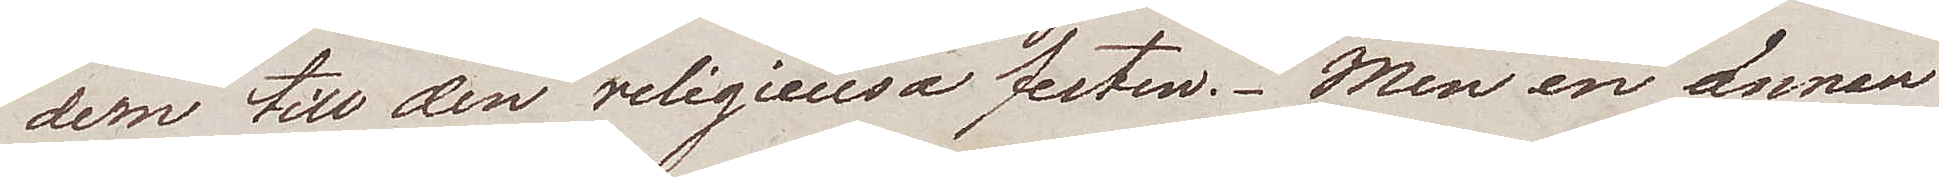dem till den religieusa festen. Men en annan
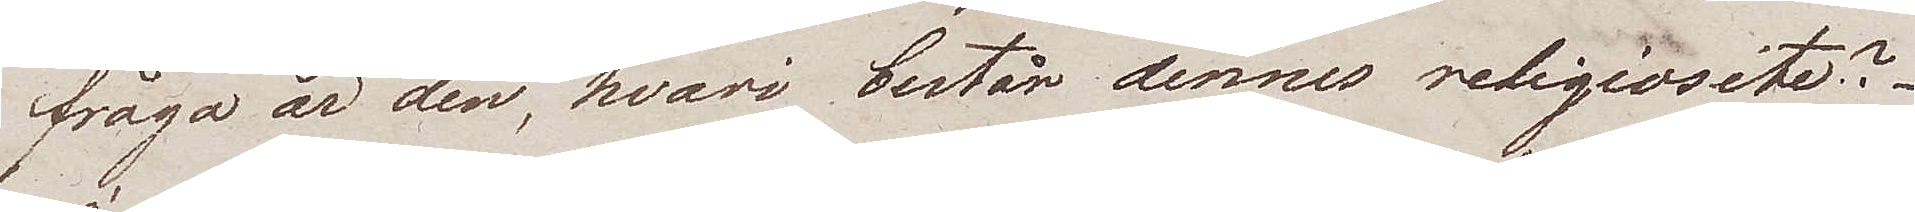fråga är den, hvari består dennes religiosite?
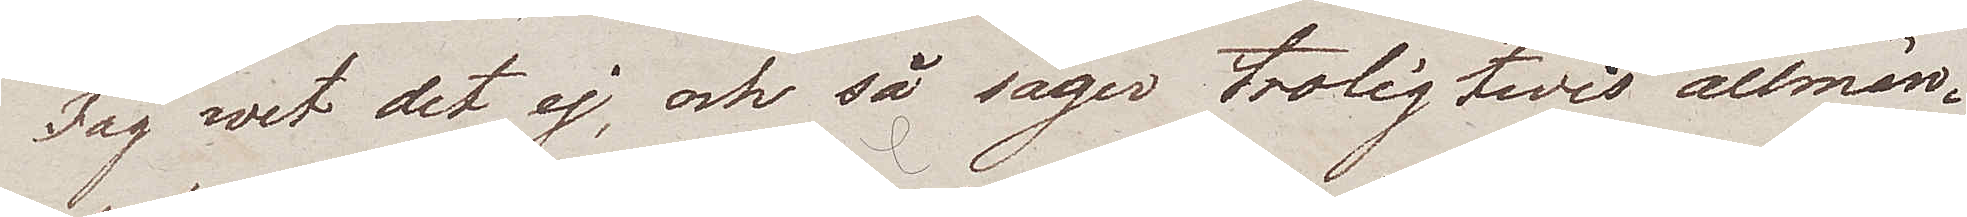Jag wet det ej, och så säger troligtwis allmän¬
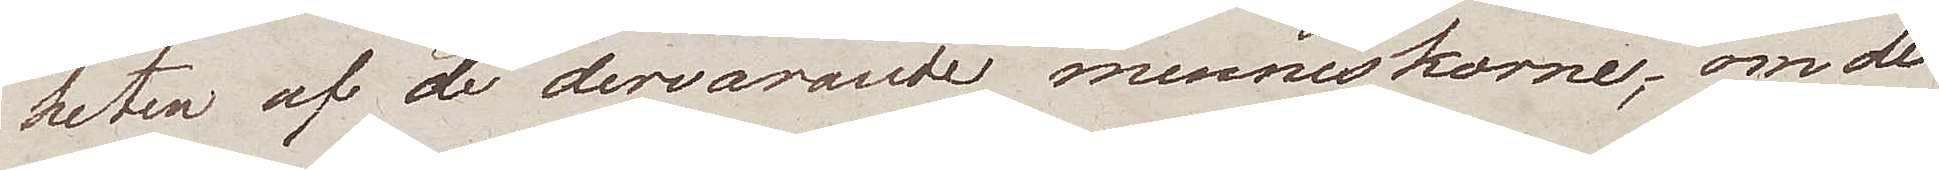heten af de dervarande menniskorne, om de
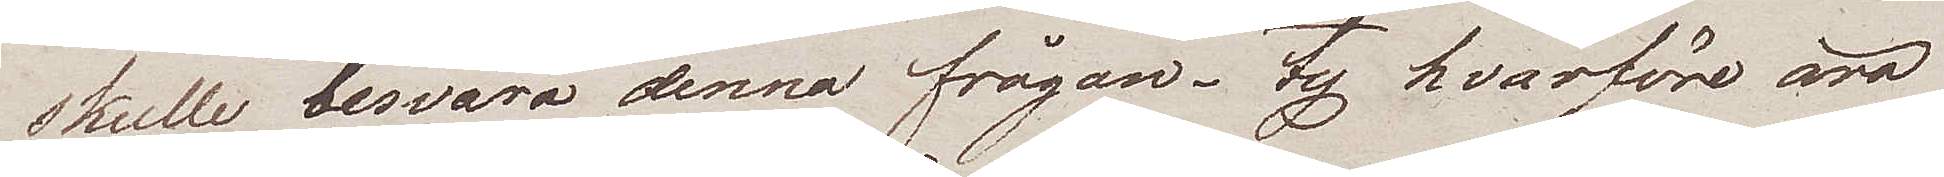skulle besvara denna frågan, ty hvarföre äro
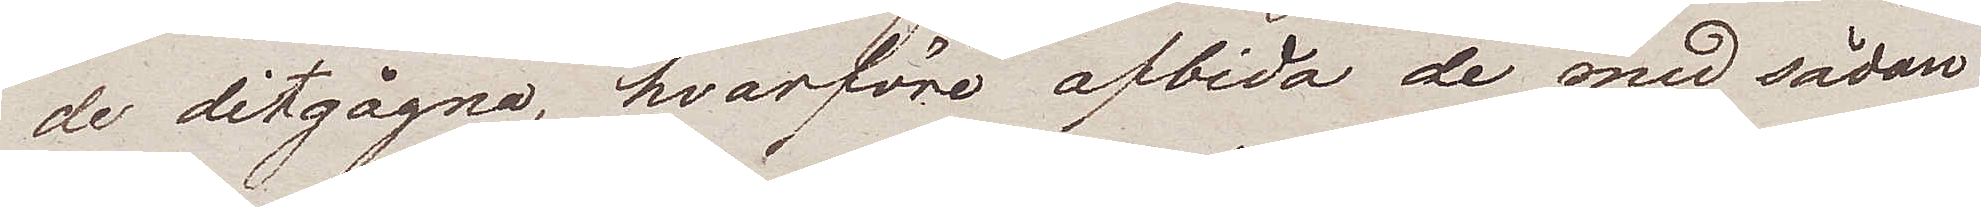de ditgågna, hvarföre afbida de med sådan
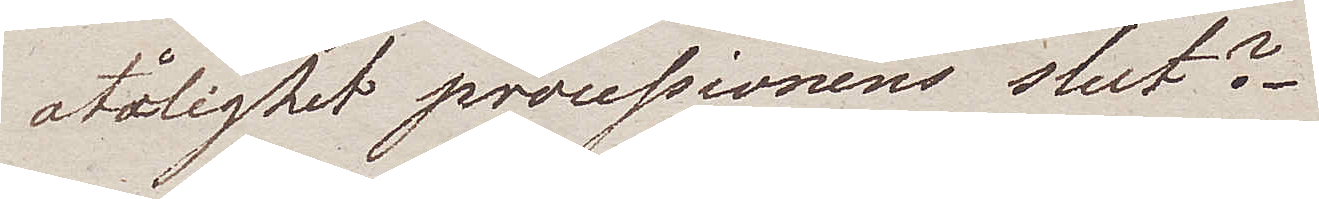otålighet processionens slut?
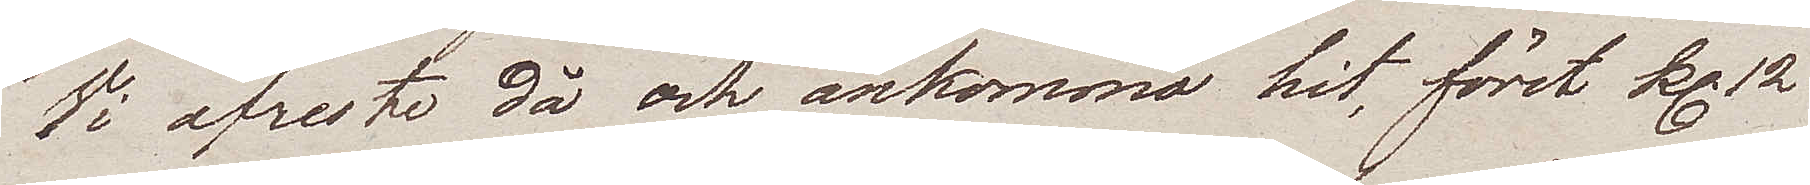Vi afreste då och ankommo hit, först kl. 12
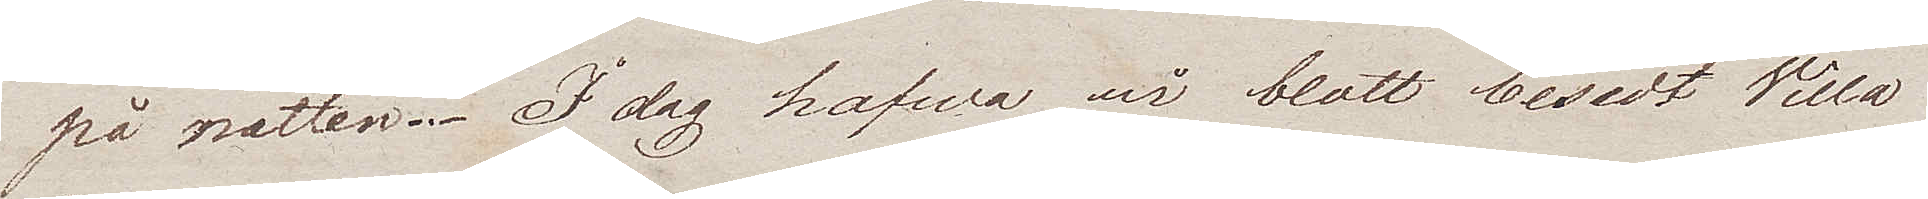på natten. I dag hafwa wi blott besedt Villa
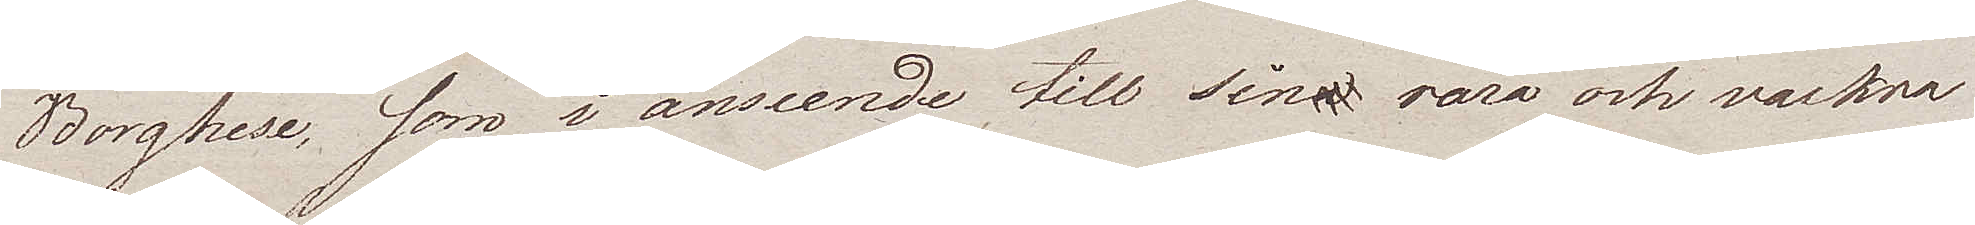Borghese, som i anseende till sina rara och vackra
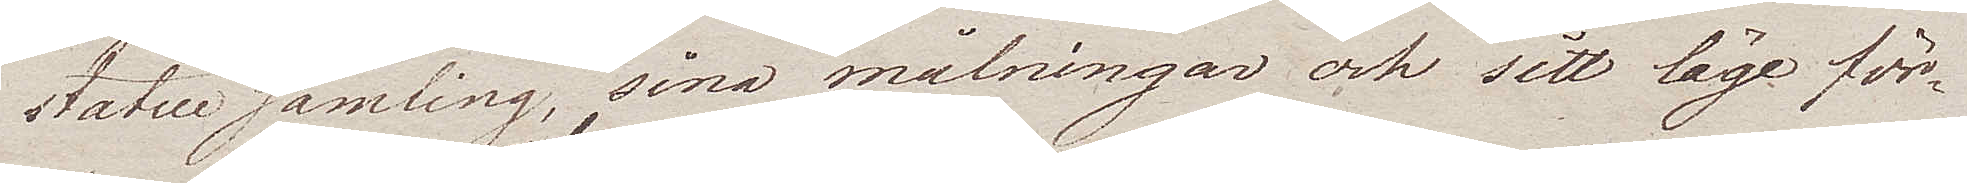statuesamling, sina målningar och sitt läge för¬
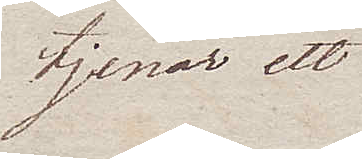tjenar ett
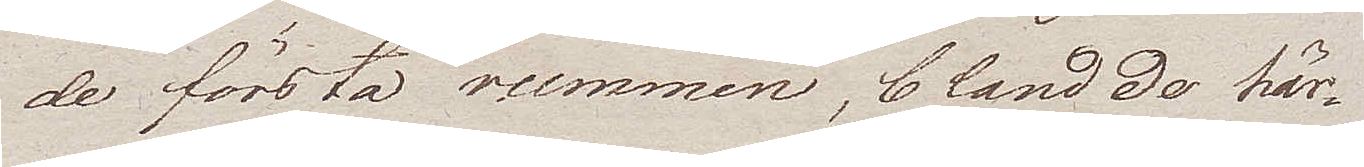de första rummen, bland de här¬
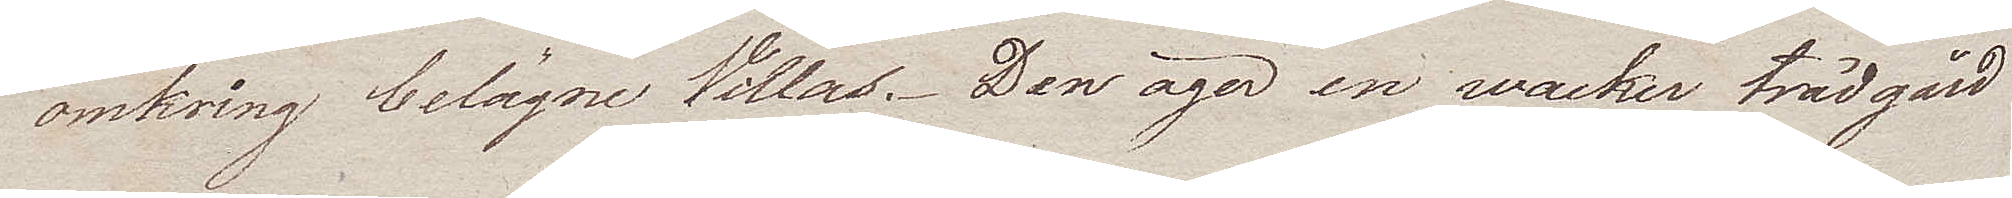omkring belägna Villas. Den äger en wacker trädgård
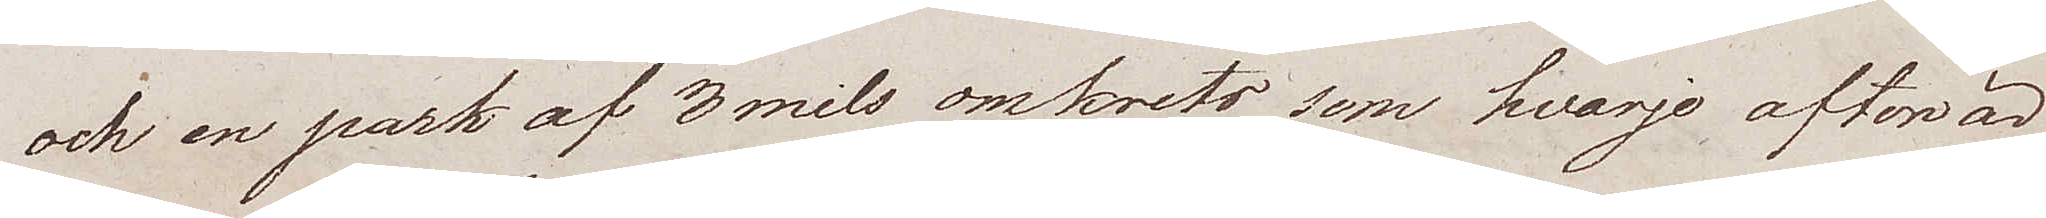och en park af 3mils omkrets som hvarje afton är
